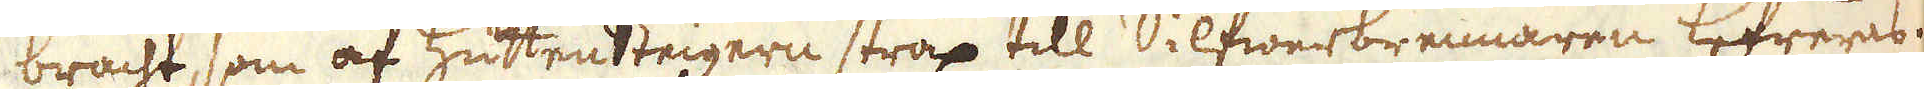bracht, som af hüttensteigern strax till Silfwerbrennarne lefreres.
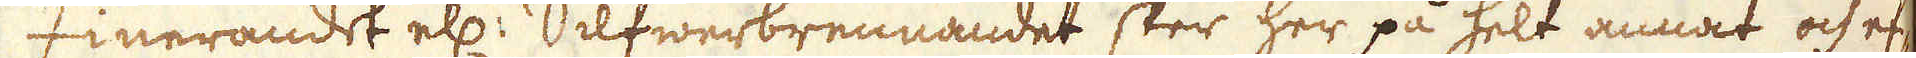Finerandet el: Silfwerbrennandet sker her på helt annat och ef-
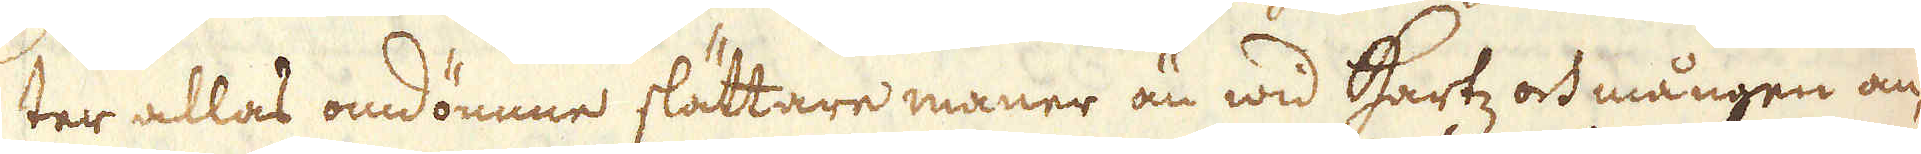ter allas omdömme slättare maner än wid Hartz och mången an-
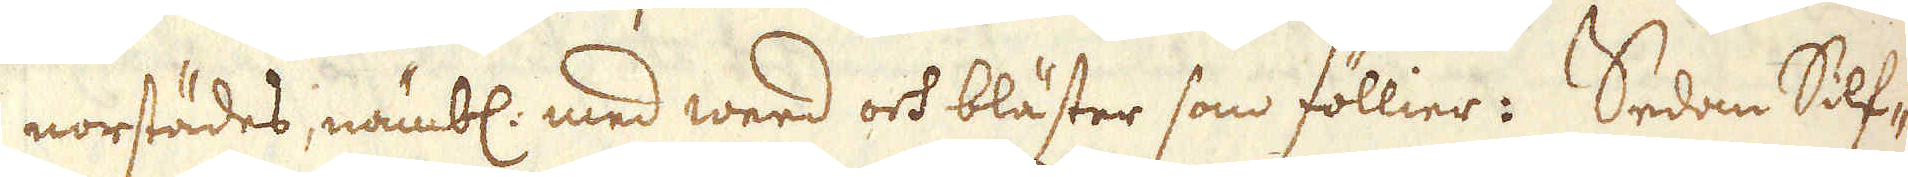norstädes, nämbl: med weed och bläster som föllier. Sedom Silf-
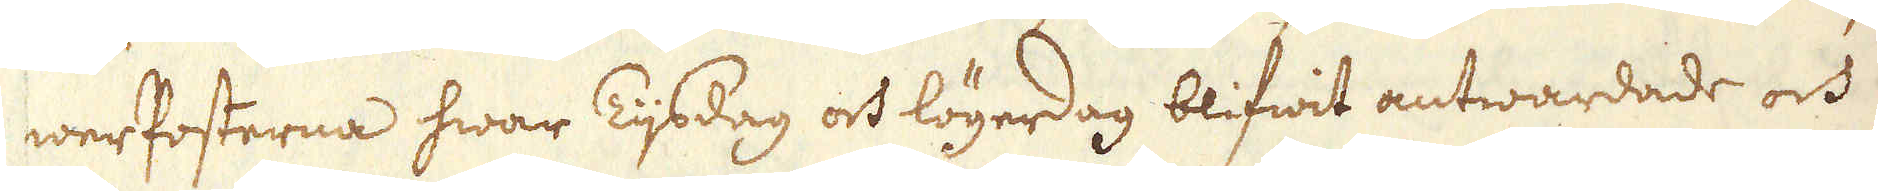werPosterna hwar Tijsdag och lögerdag blifwit antwardade och
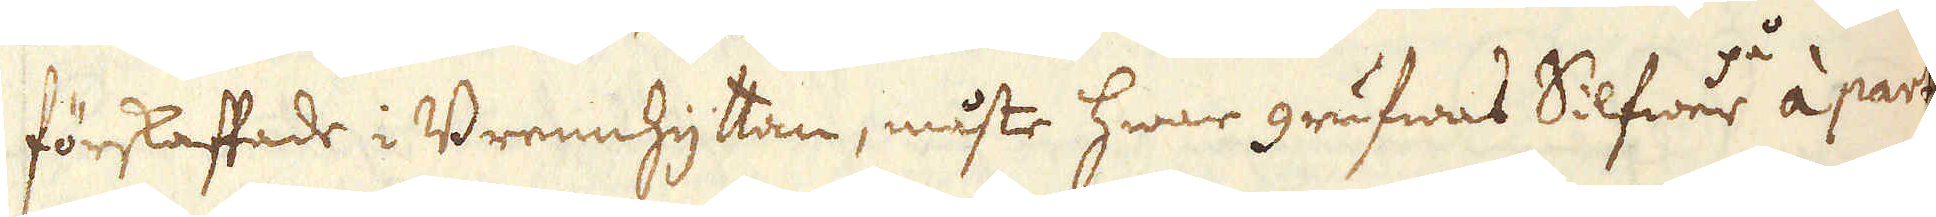förskaffade i Brennhyttan, måste hwar grufwas Silfwer på à part
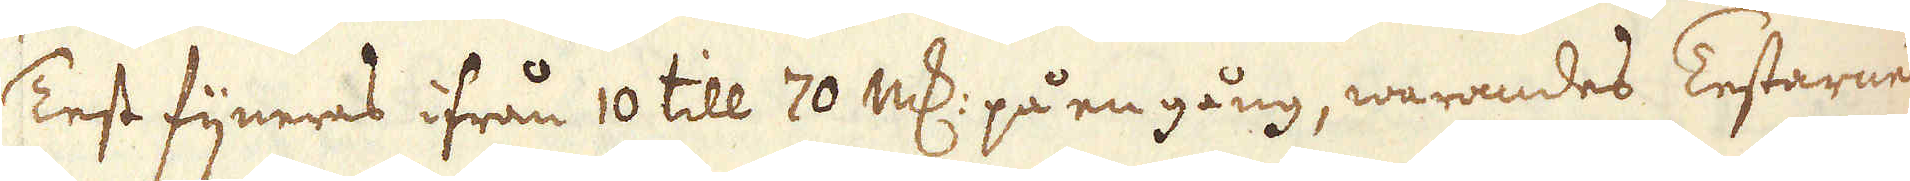Test fijneras ifrån 10 till 70 marker på en gång, warandes Testarne
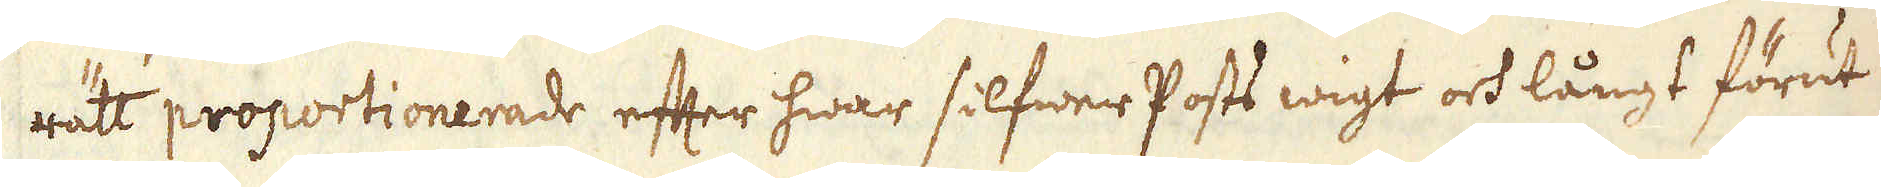rätt proportionerade efter hwar silfwer Posts wigt och långt förut
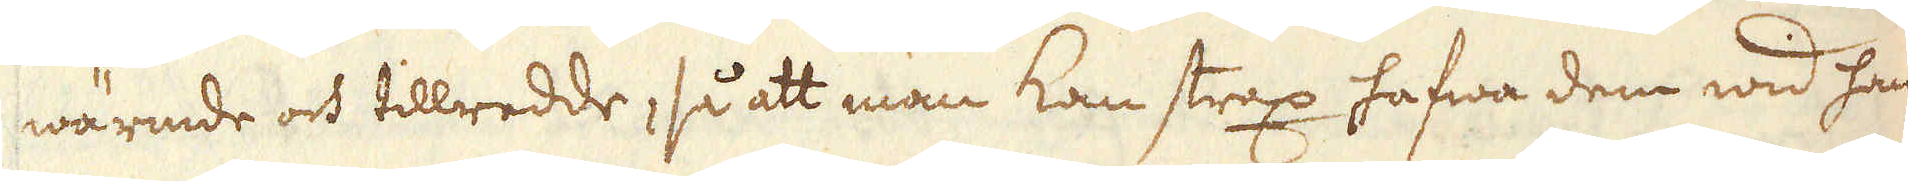wärmde och tillredde, så att man kan strax hafwa dem wid han-
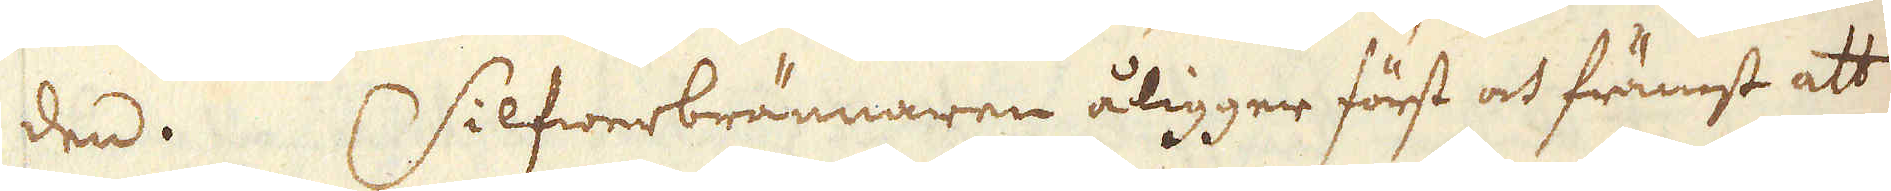den. Silfwerbrännaren åligger först och främst att
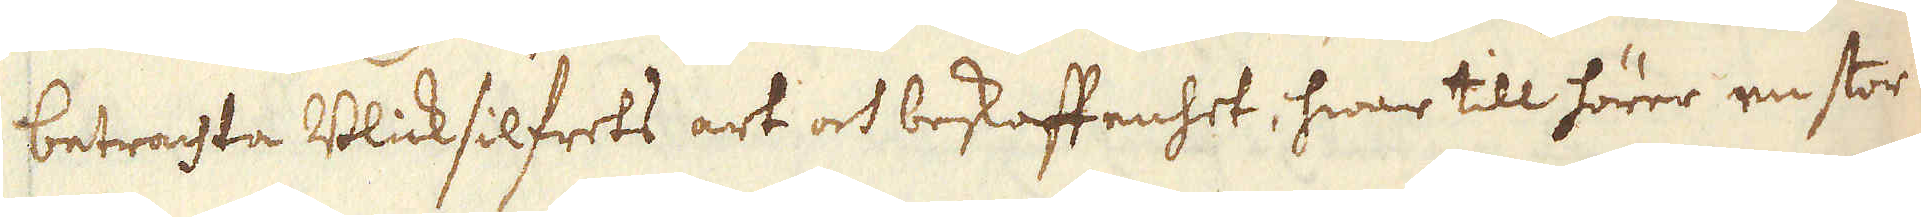betrachta Blicksilfrets art och beskaffenhet, hwar till hörer en stor
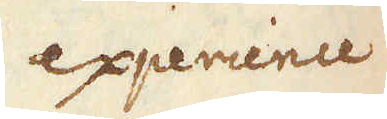experience
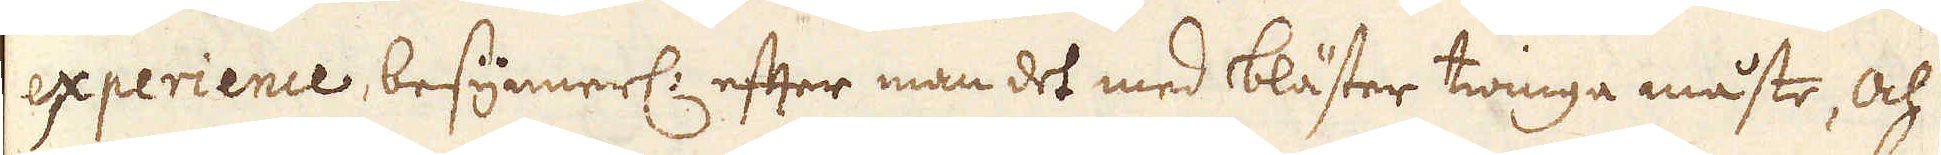experience, besynnerl: efter man det med bläster twinga måste, och
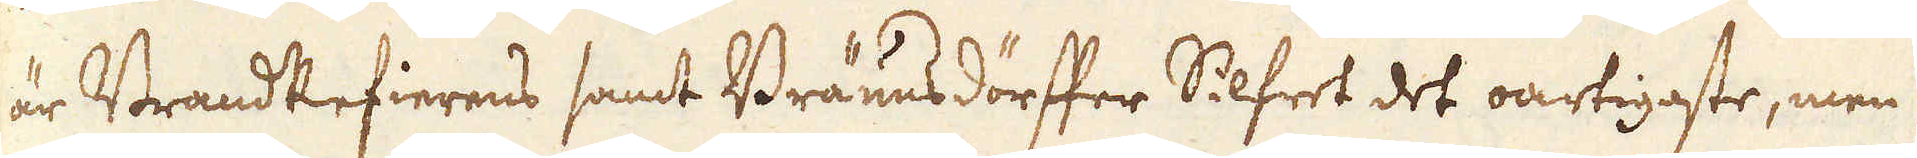är BrandRefierens samt Bräunsdörffer Silfret det oartigaste, men
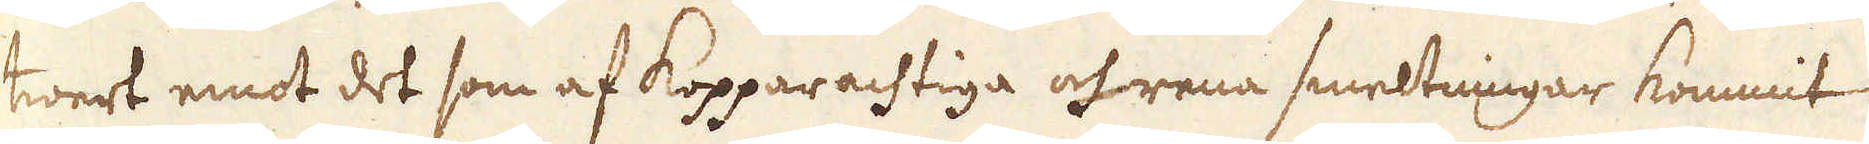twert emot det som af Kopparachtiga och rena smeltningar kommit
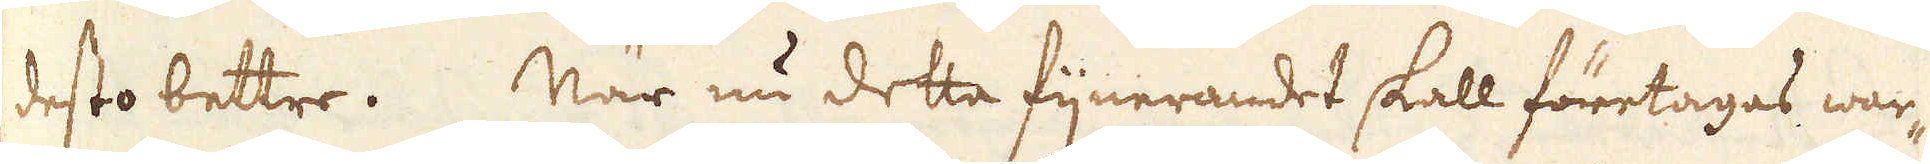desto bettre. När nu detta fijnerandet skall företagas war-
